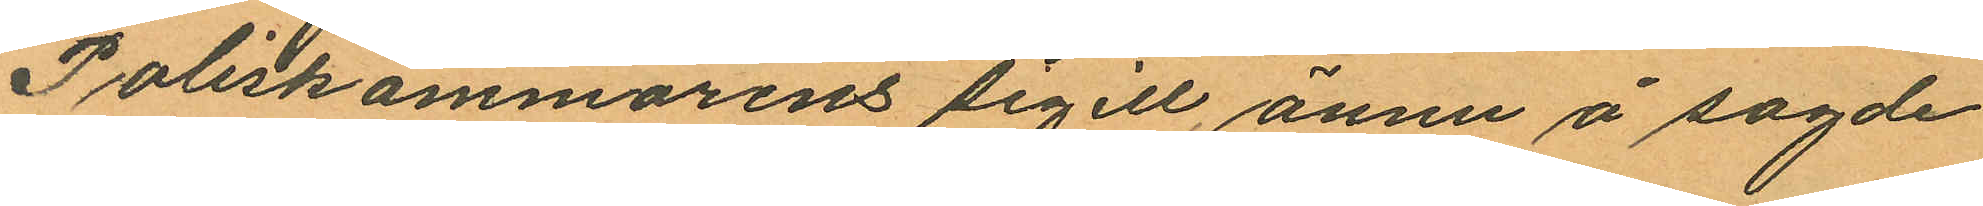Poliskammarens sigill, ännu å sagde
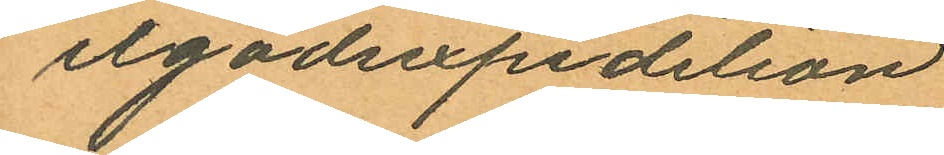ilgodsxpedition
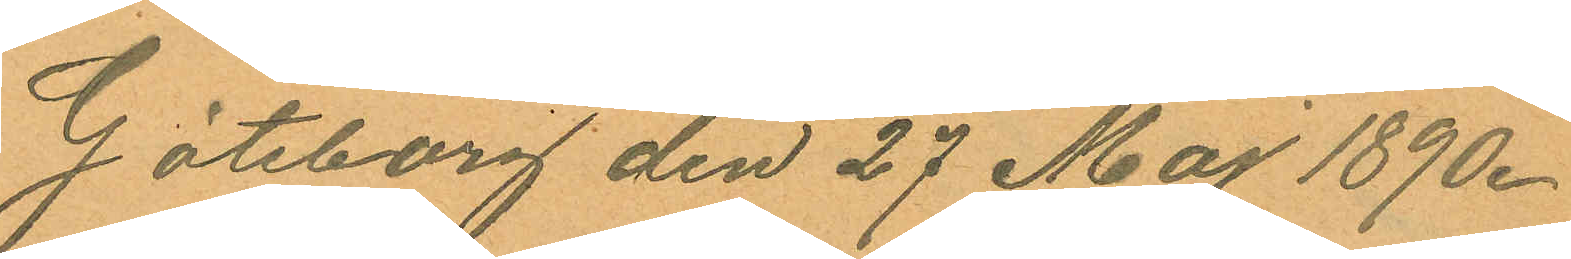Göteborg den 27 Maj 1890.
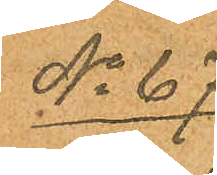No 67
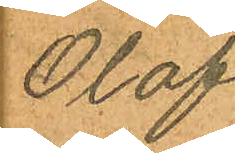Olof
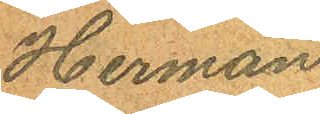Herman
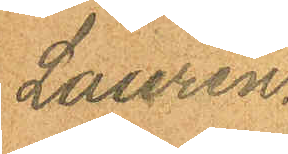Lauren.
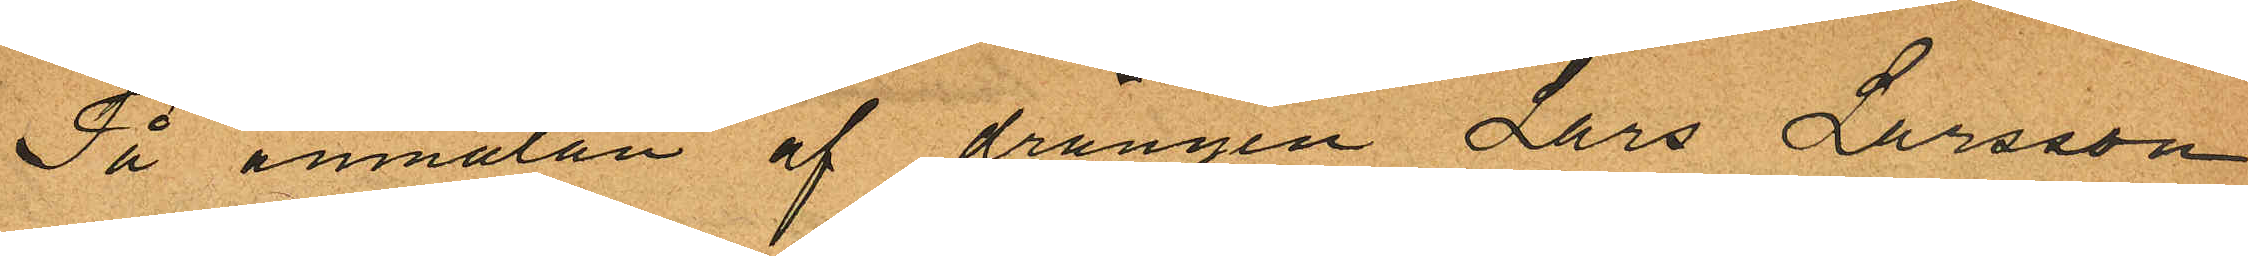På anmälan af drängen Lars Larsson
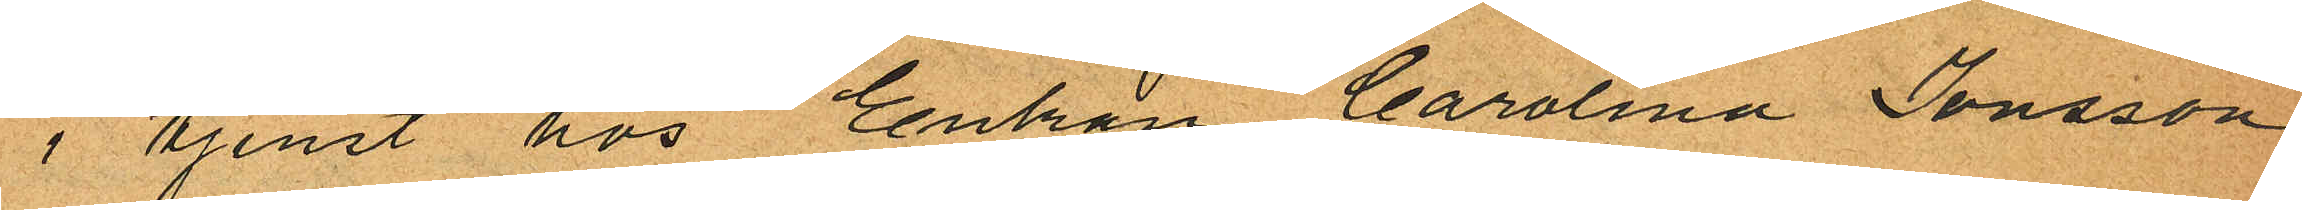i tjenst hos Enkan Carolina Jonsson
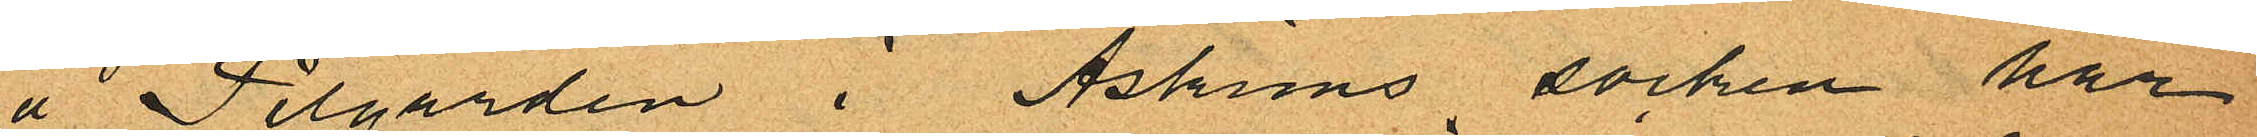å Pilgården i Askims socken har
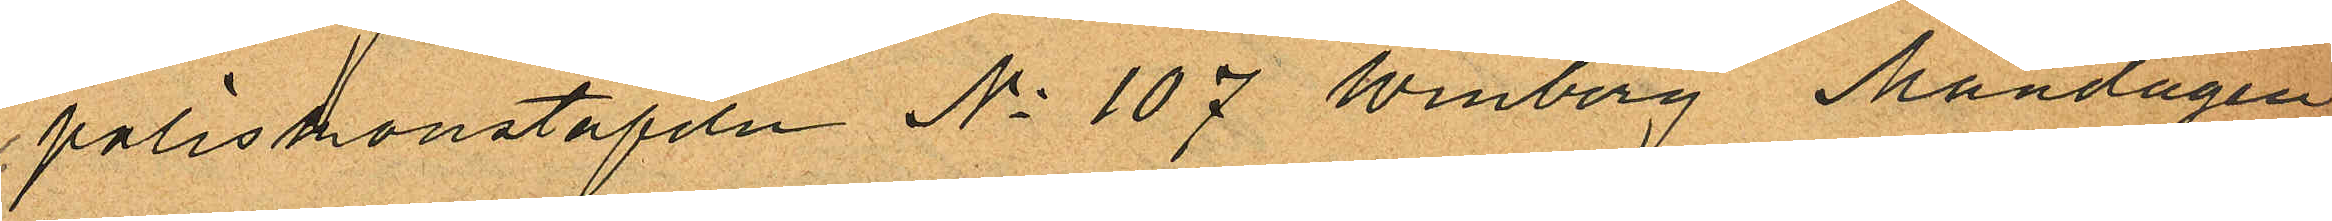poliskonstapeln No 107 Winberg Måndagen
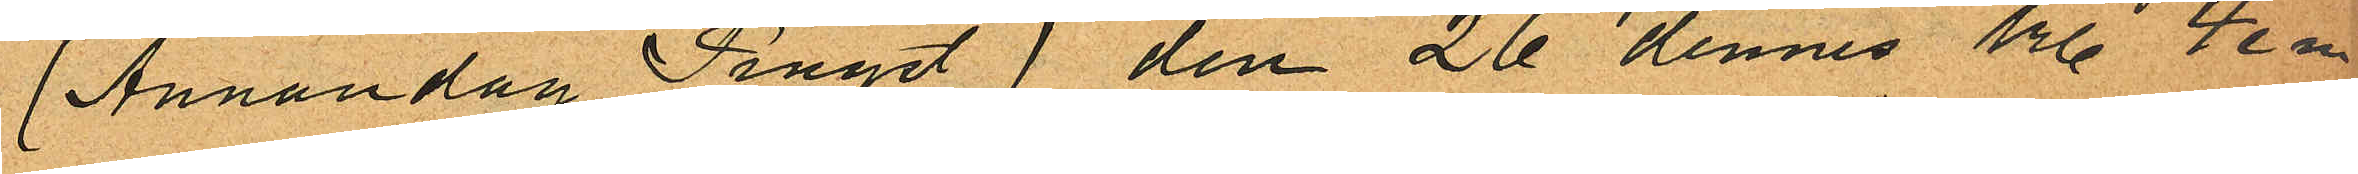(Annandag Pingst) den 26 dennes kl. 4 e m
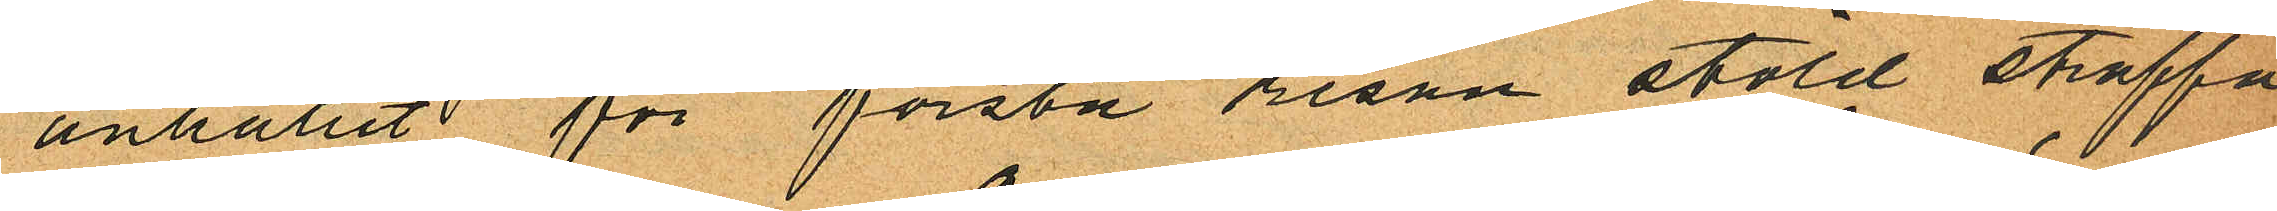anhållit för första resan stöld straffa
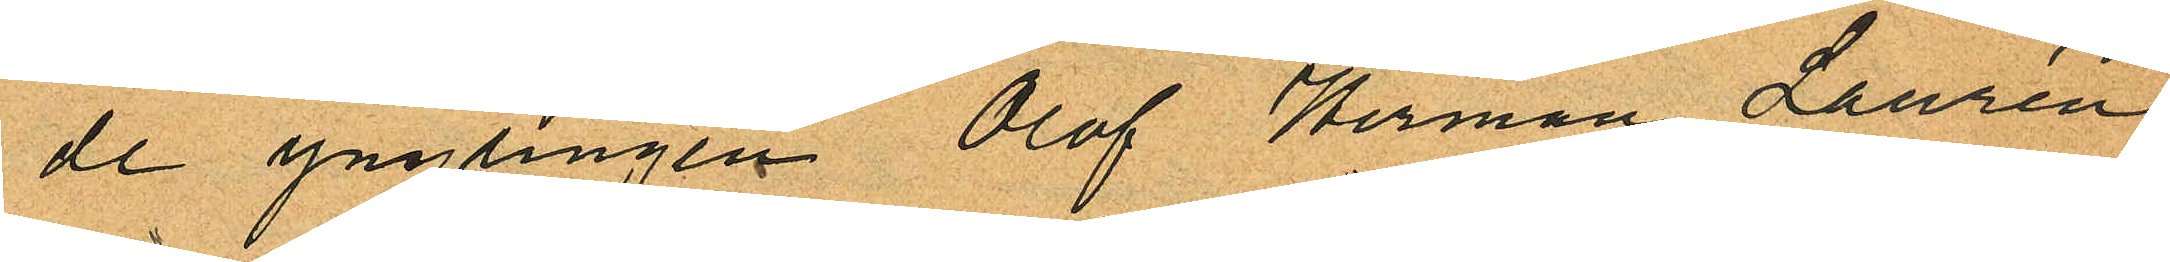de ynglingen Olof Herman Laurén
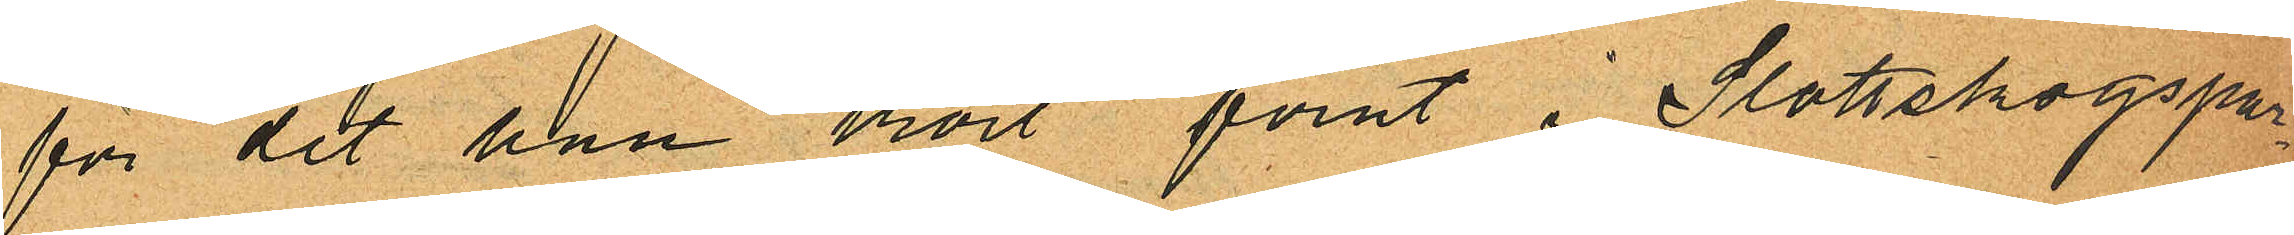för det han kort förut i Slottskogspa¬
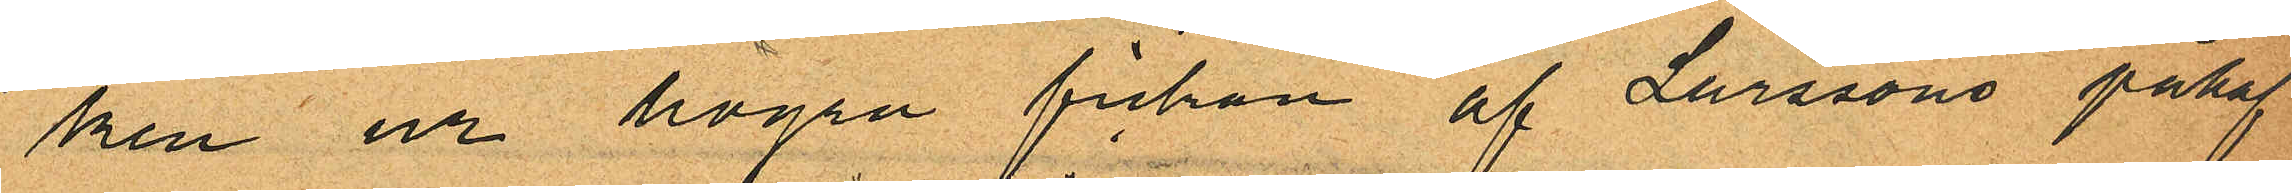ken ur högra fickan af Larssons påhaf¬
